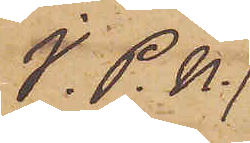I. P. U.
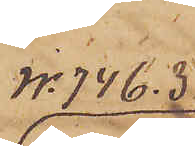No 74 C. 3
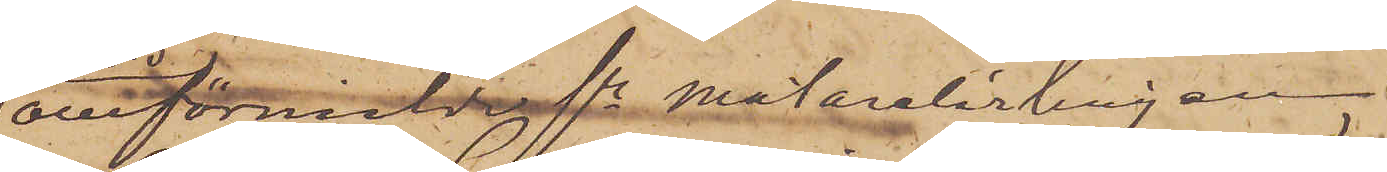omförmälde fre Målarelärlingen
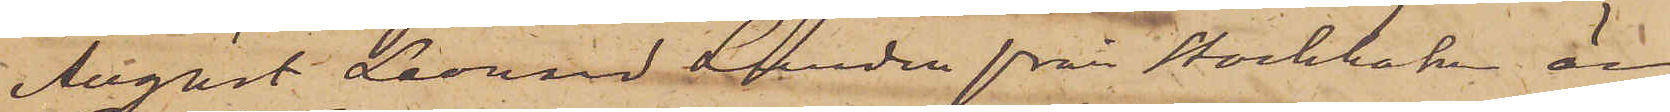August Leonard Lunden från Stockholm är
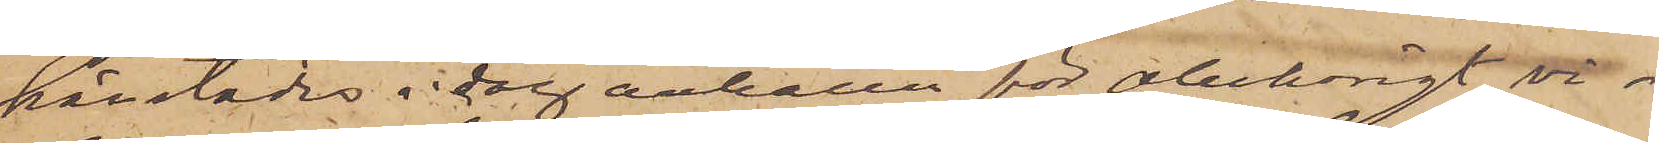härstädes i dag anhållen för obehörigt vi¬
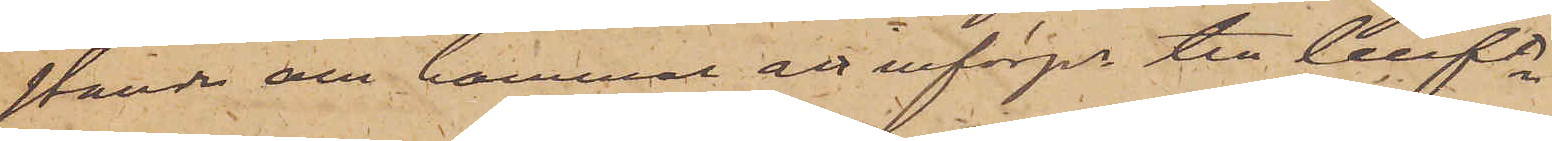stande och kommer att införps till Cellft
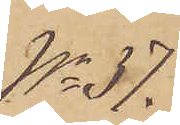No 37.
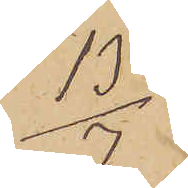13/7
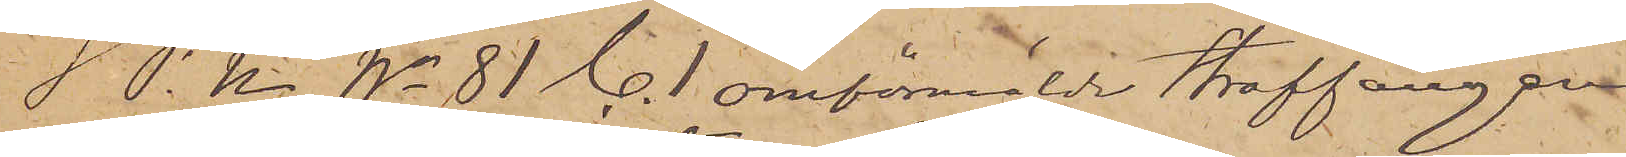I. P. U No 81 C. 1 omförmälde Straffången
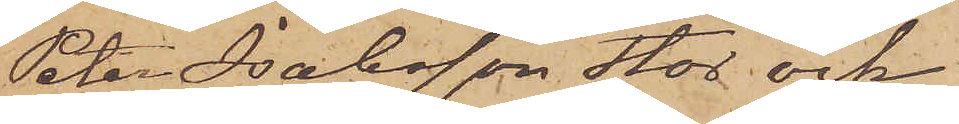Peter Isaksson Stor och
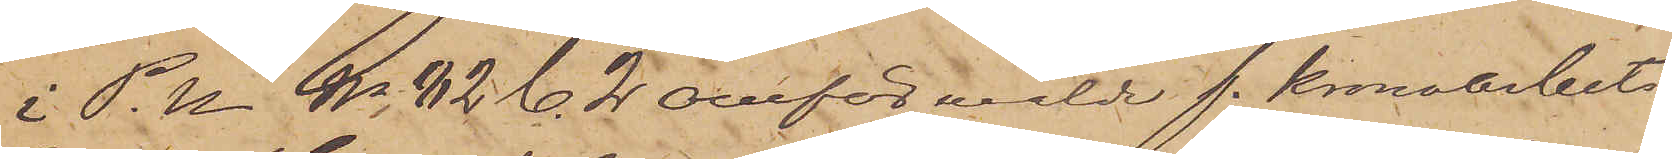i P. U. No 82 C. 2 omförmälde f. Kronoarbets¬
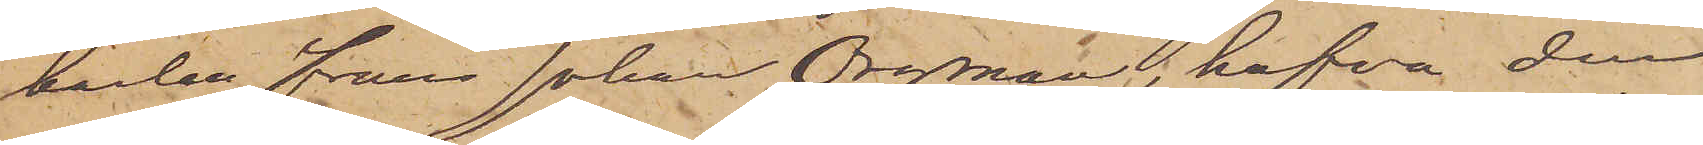karlen Frans Johan Orgman, hafva den
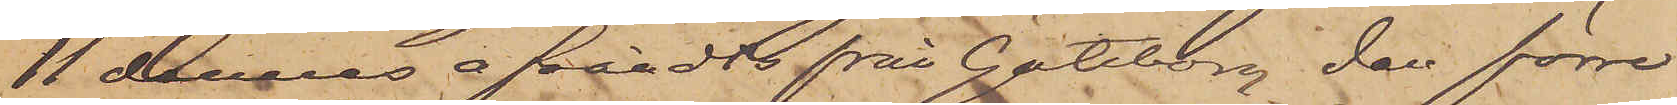11 dennes afsändts från Göteborg, den förre
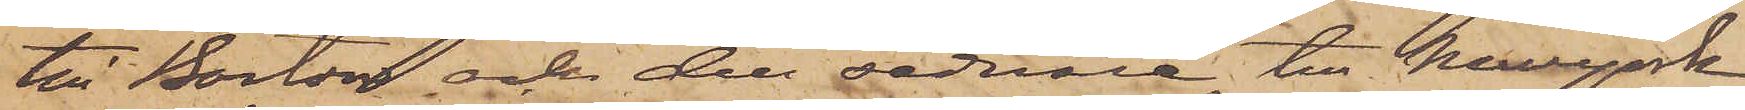till Boston och den sednare till NewYork.
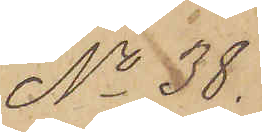No 38.
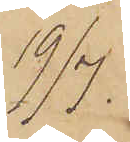19/7:
